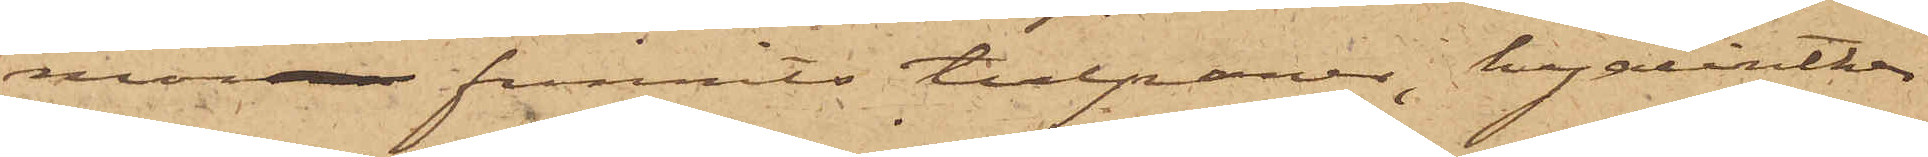mor funnits tulpaner, hyacinther
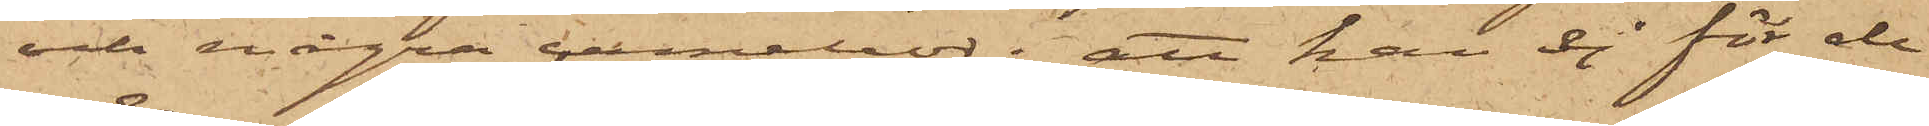och några camelior; att han ej för de
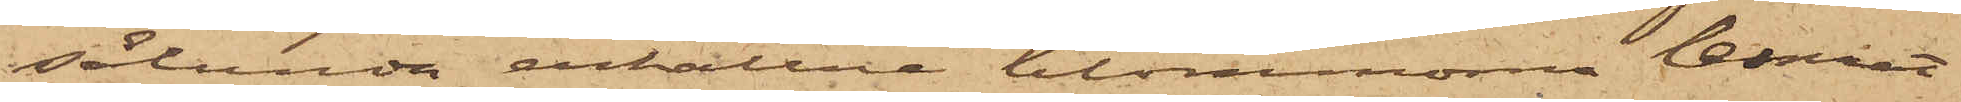sålunda erhållne blommorna lemnat
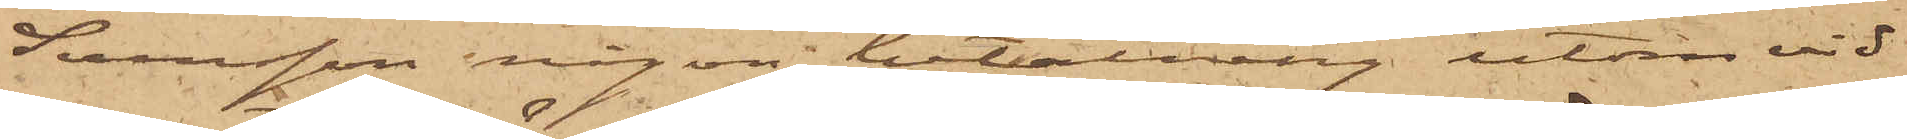Svensson någon betalning utom vid
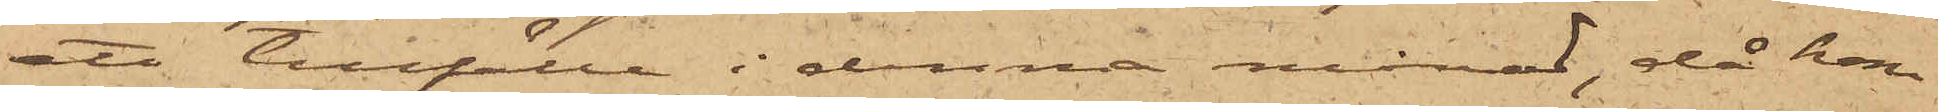ett tillfälle i denna månad, då han
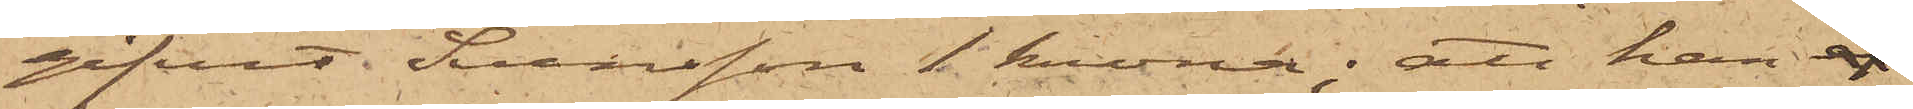gifvit Svensson 1 krona; att han 
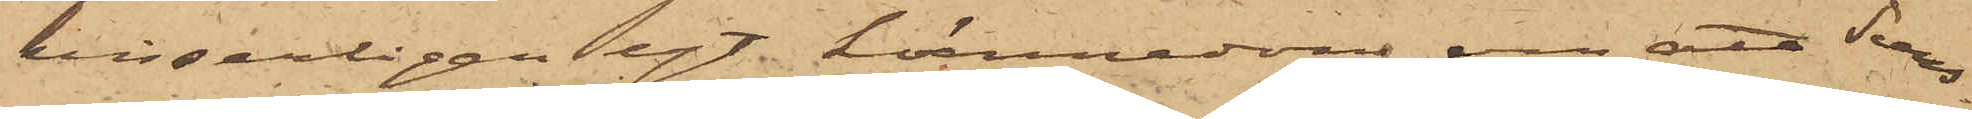visserligen egt kännedom om att Svens¬
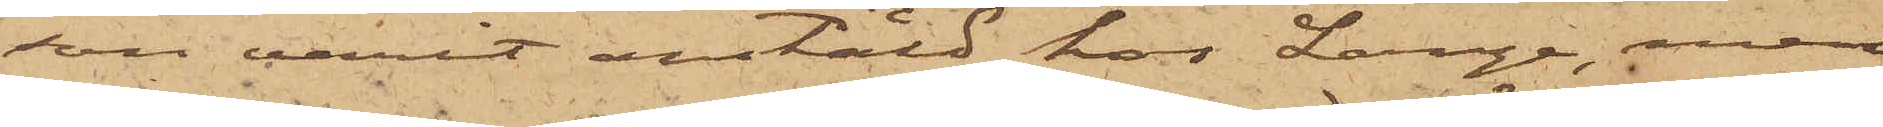son varit anstäld hos Lange, men
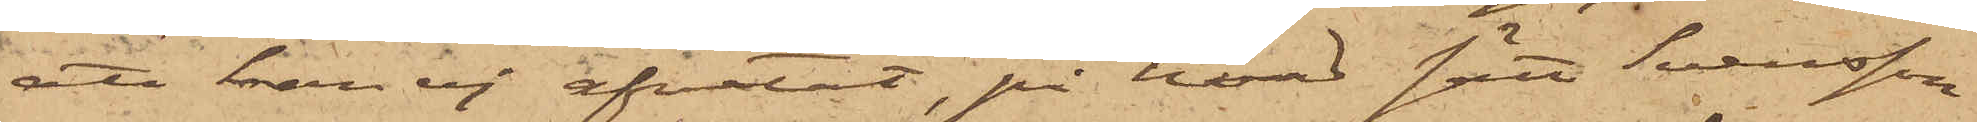att han ej afvetat, på hvad sätt Svensson
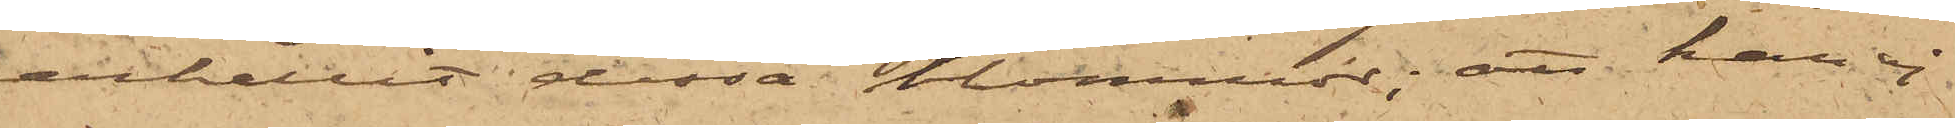erhållit dessa kommor; att han ej
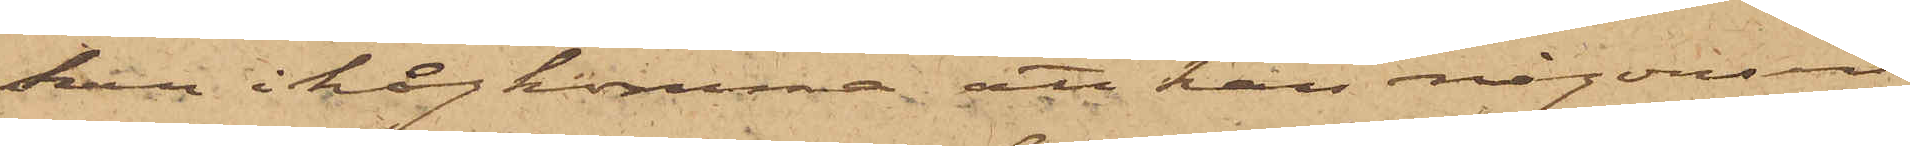kan ihågkomma att han någonsin
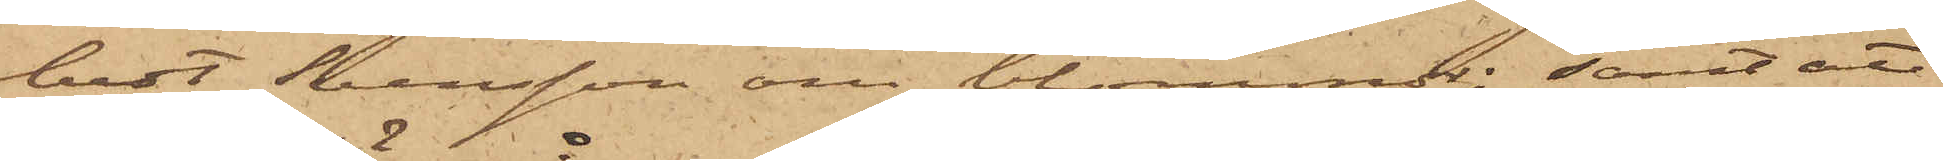bett Svensson om blommor; samt att
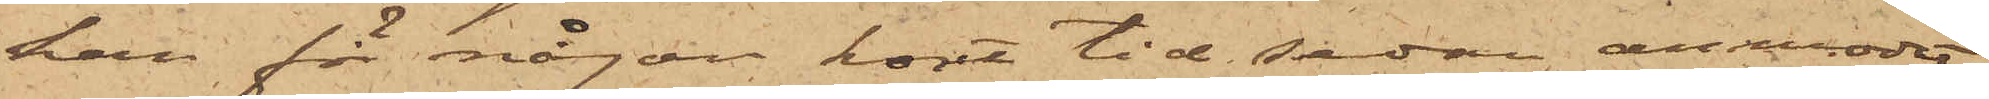han för någon kort tid sedan anmodat
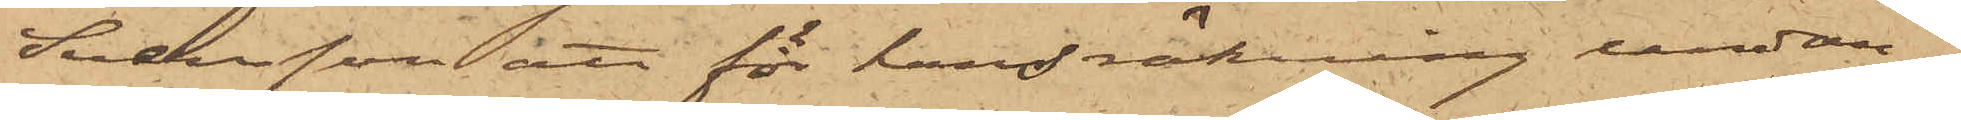Svensson att för hans räkning undan¬
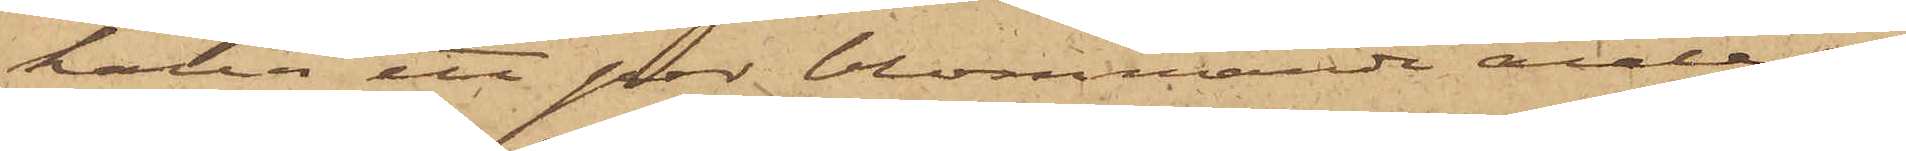hålla ett par blommande asaleor,
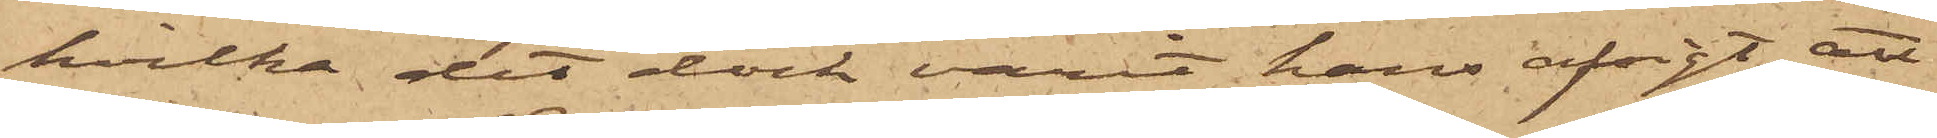hvilka det dock varit hans afsigt att
